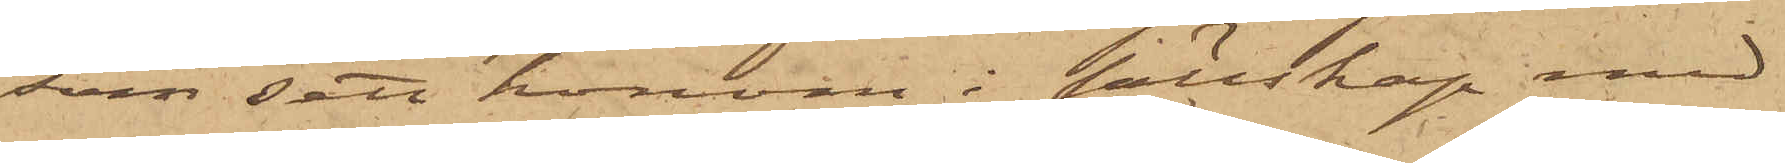som sett honom i sällskap med
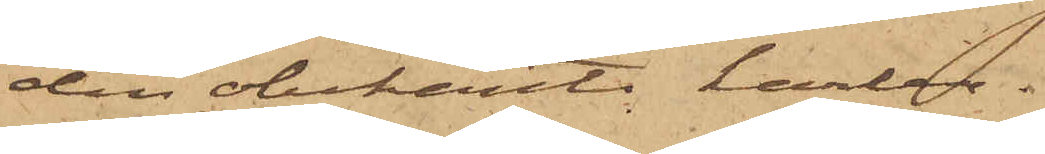den obekante karlen.
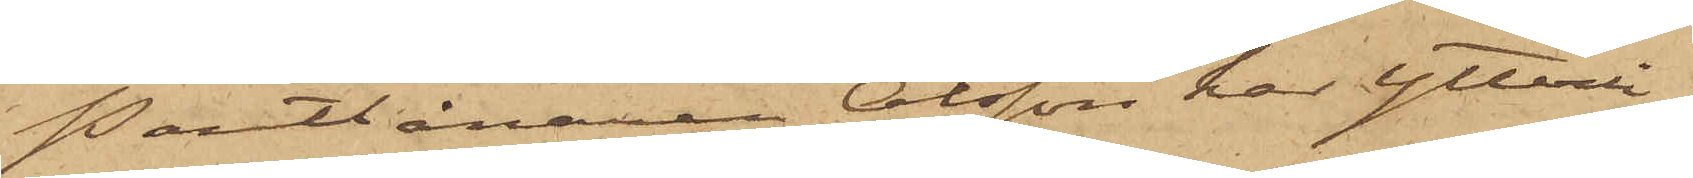Pantlånaren Olsson har ytterli¬
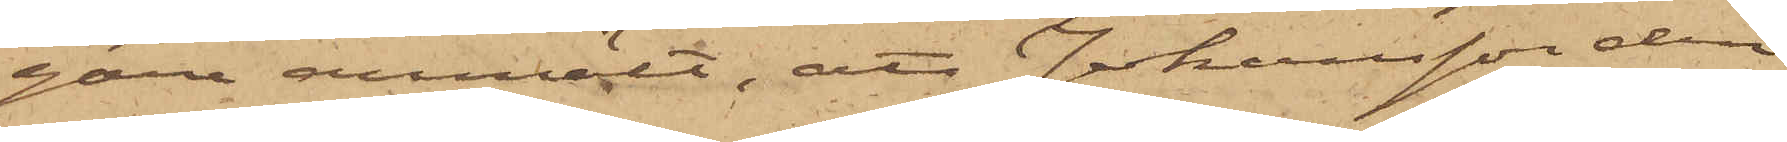gare anmält, att Johansson den
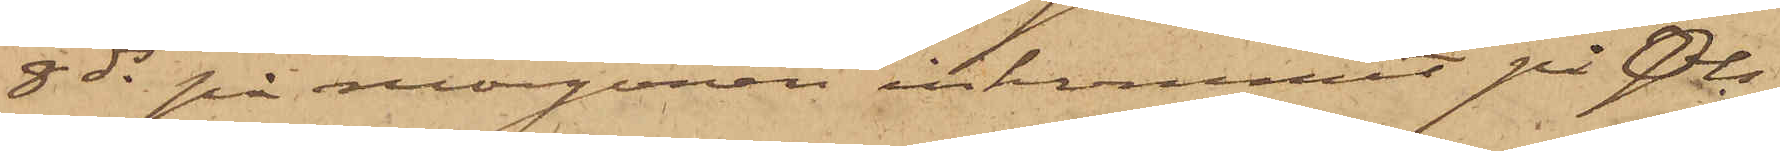8 ds på morgonen inkommit på Ols¬
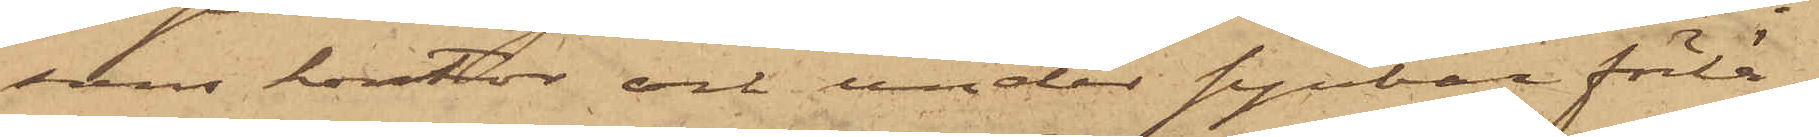sons kontor och under synbar förlä¬
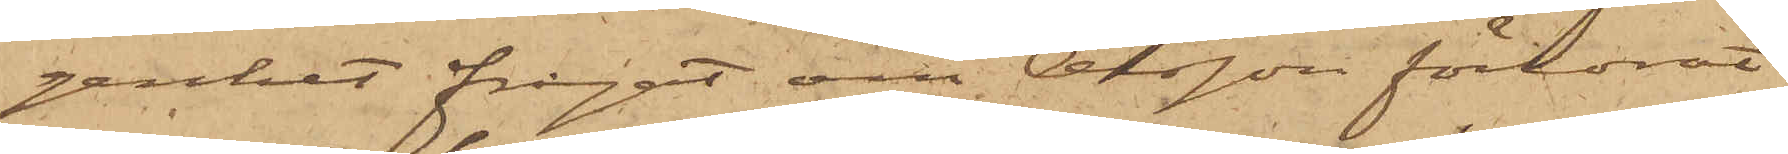genhet frågat om Olsson förlorat
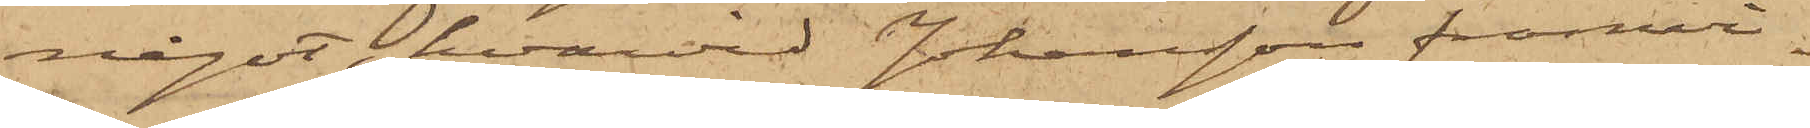något, hvarvid Johansson framvi¬
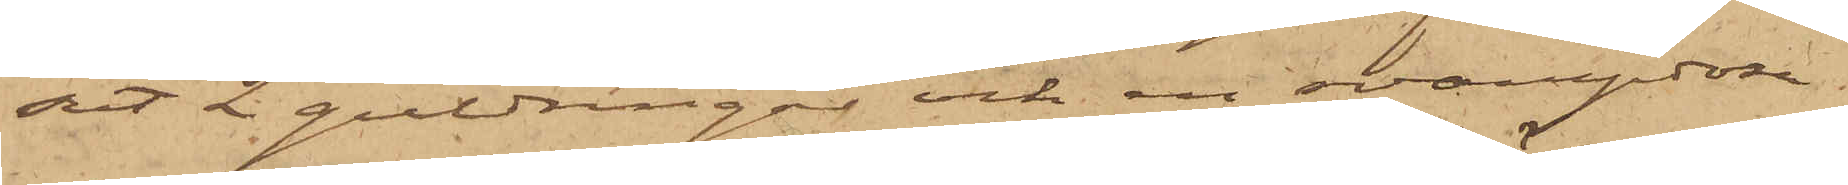sat 2 guldringar och en svampdosa,
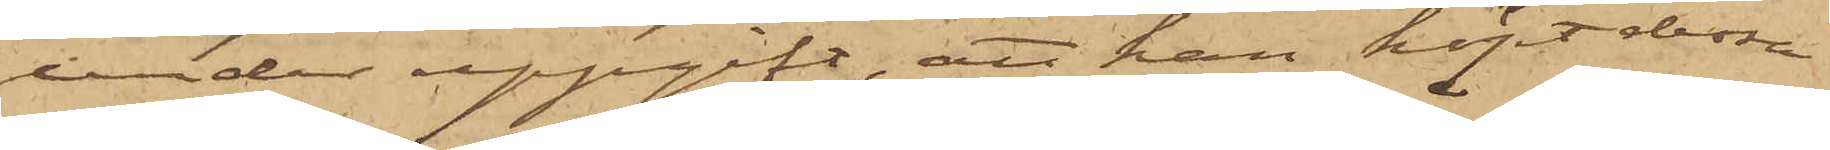under uppgift, att han köpt dessa
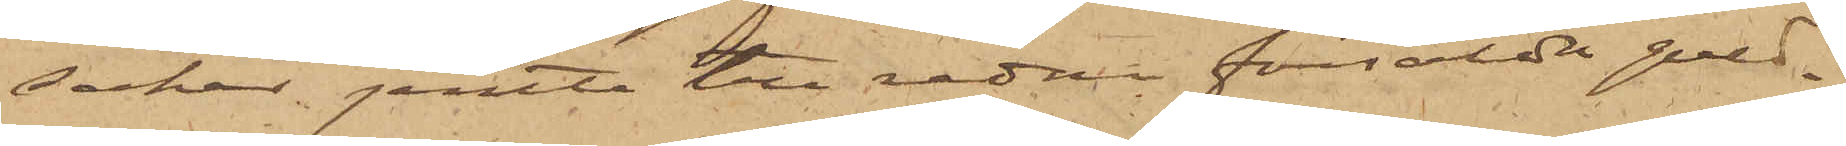saker, jemte tre redan försålda guld¬
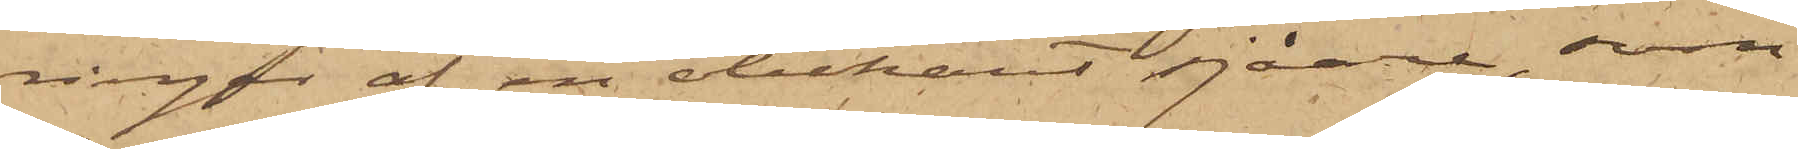ringar af en obekant sjåare, som
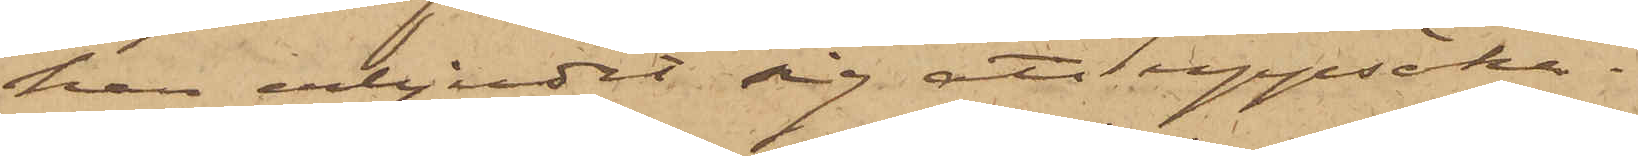han erbjudit sig att uppsöka.
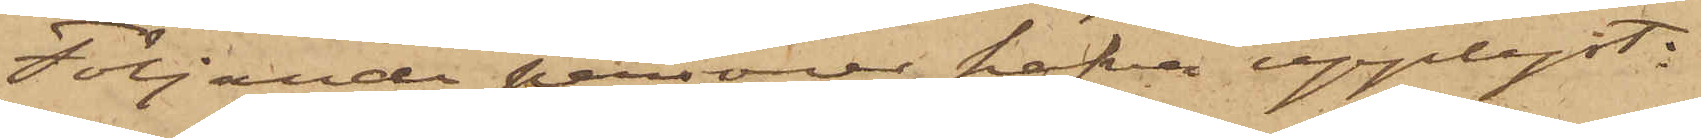Följande personer hafva upplyst:
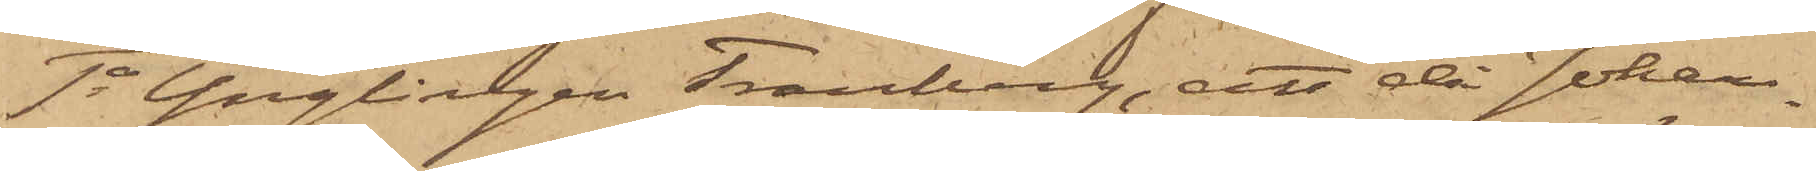1o Ynglingen Tranberg, att då Johan¬
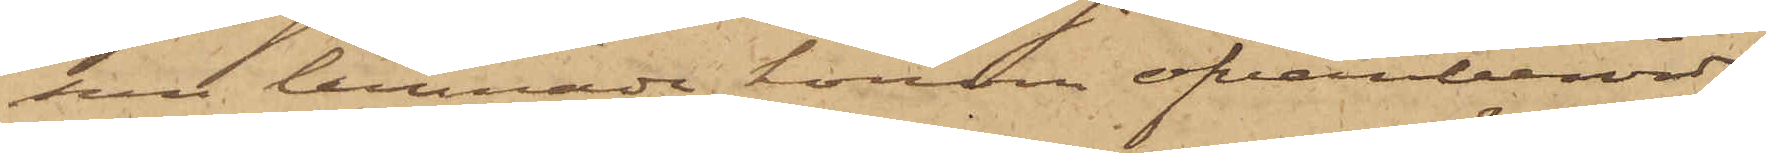sn lemnade honom ofvanberörde
